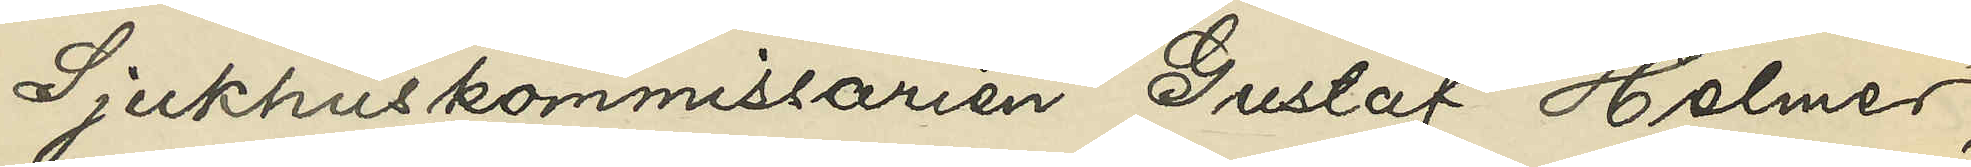Sjukhuskommissarie Gustaf Holmer,
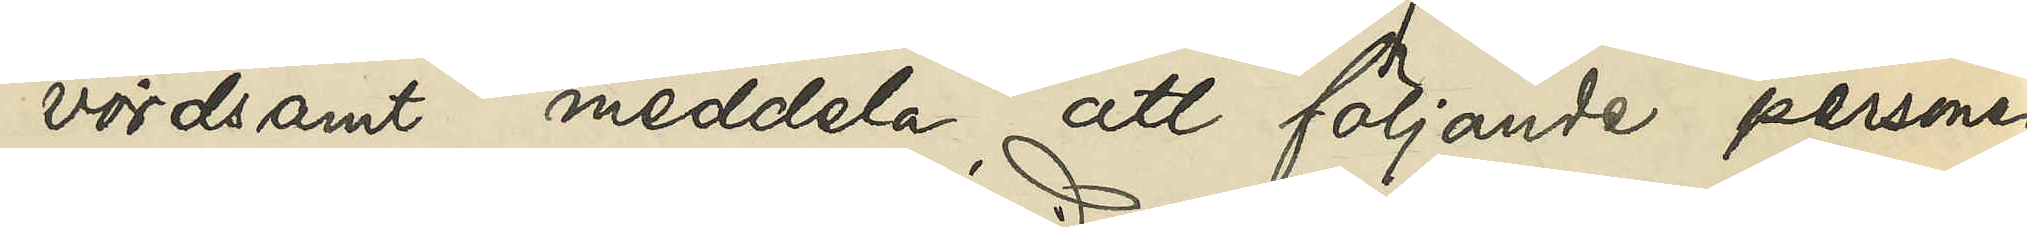vördsamt meddela, att följande personer
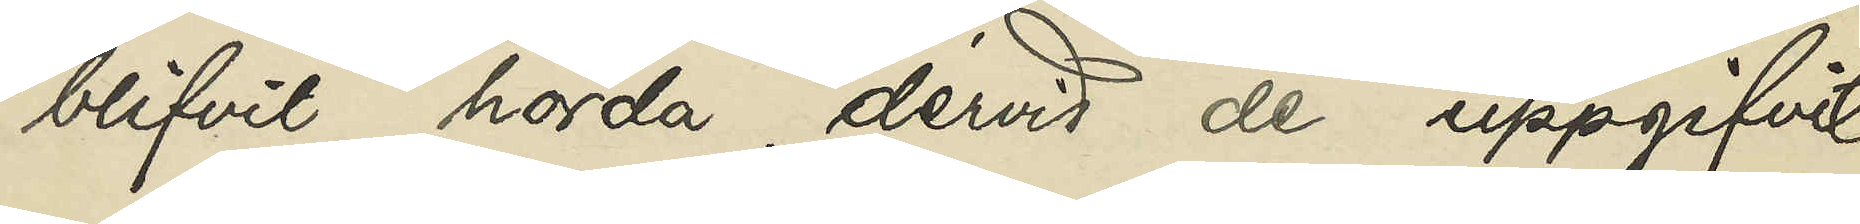blifvit hörda dervid de uppgifvit:
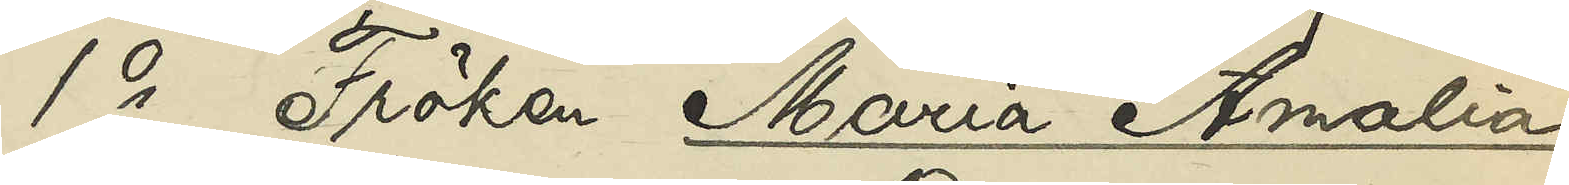1o Fröken Maria Amalia
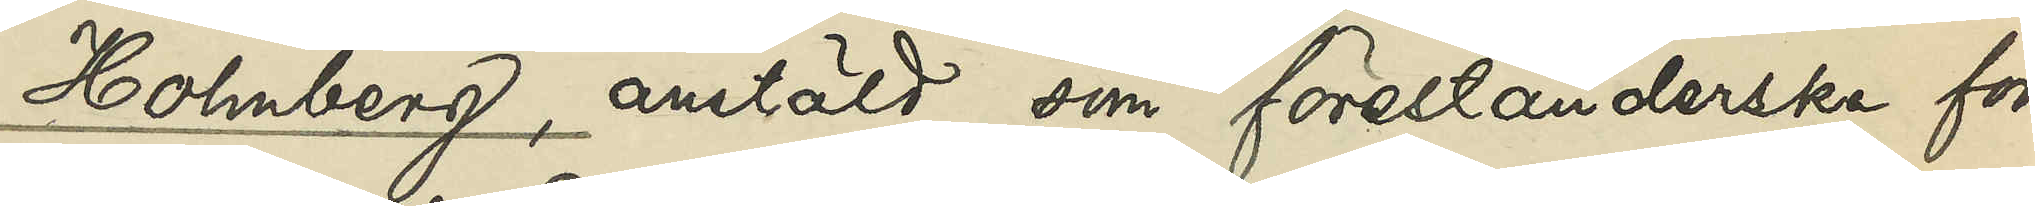Holmberg, anstäld som förestånderska för
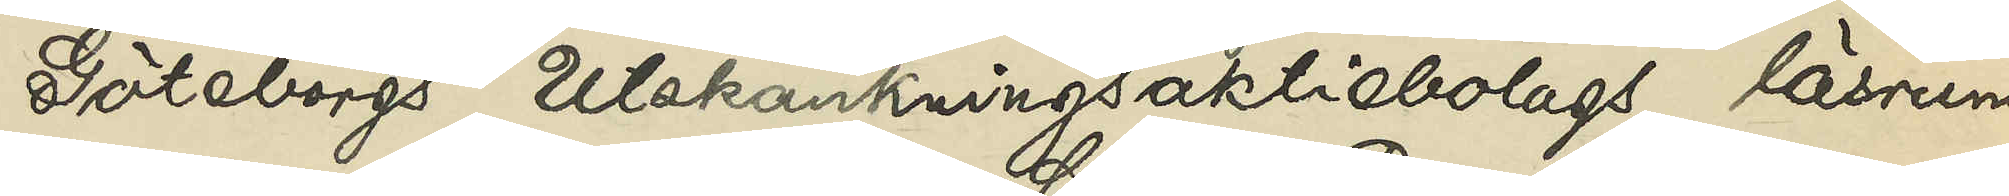Göteborgs Utskänkningsaktiebolags läsrum
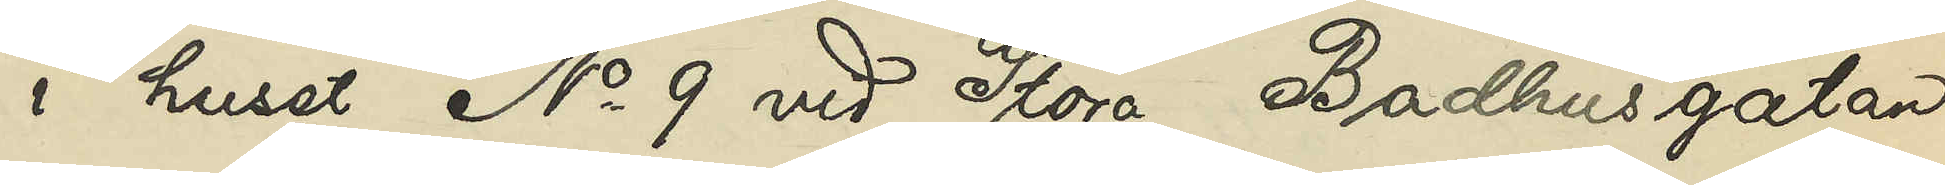i huset No 9 vid Stora Badhusgatan
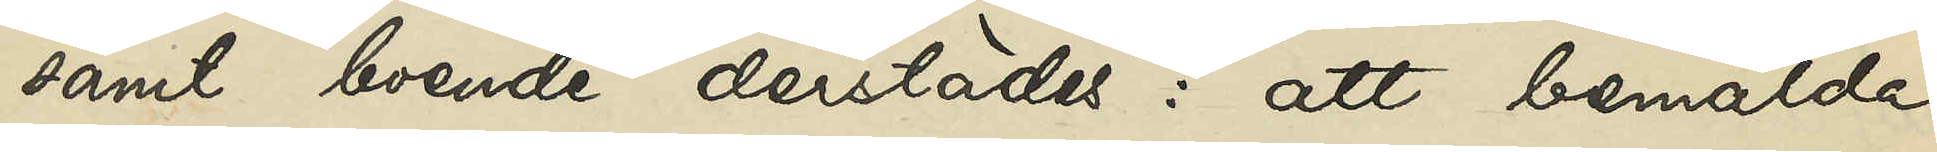samt boende derstädes: att bemälda
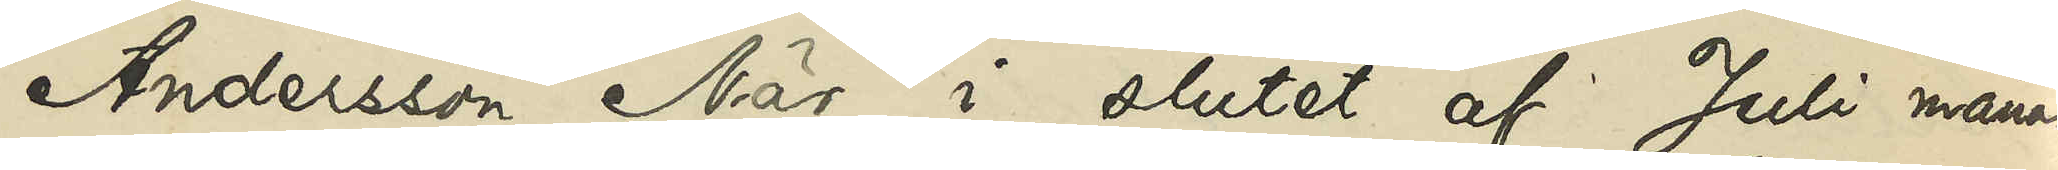Andersson När i slutet af Juli månad
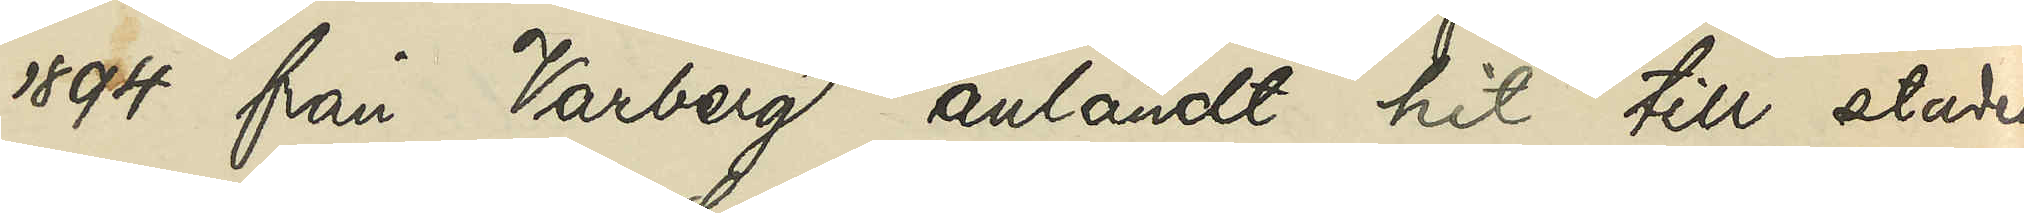1894 från Varberg anländt hit till staden,
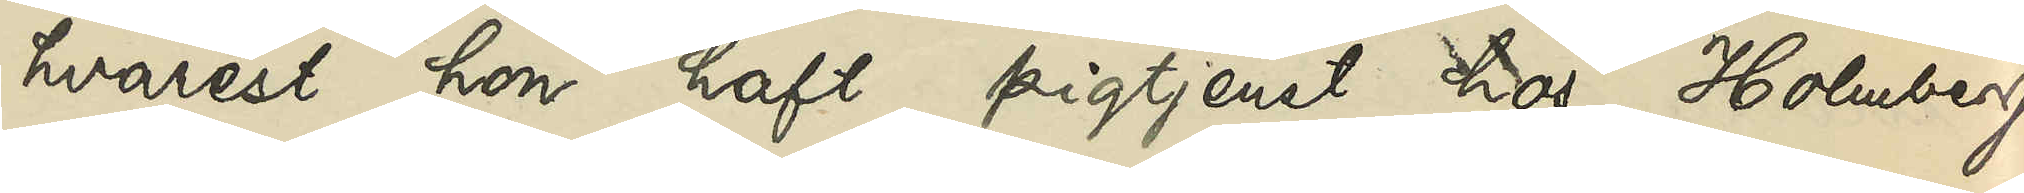hvarest hon haft pigtjenst hos Holmberg
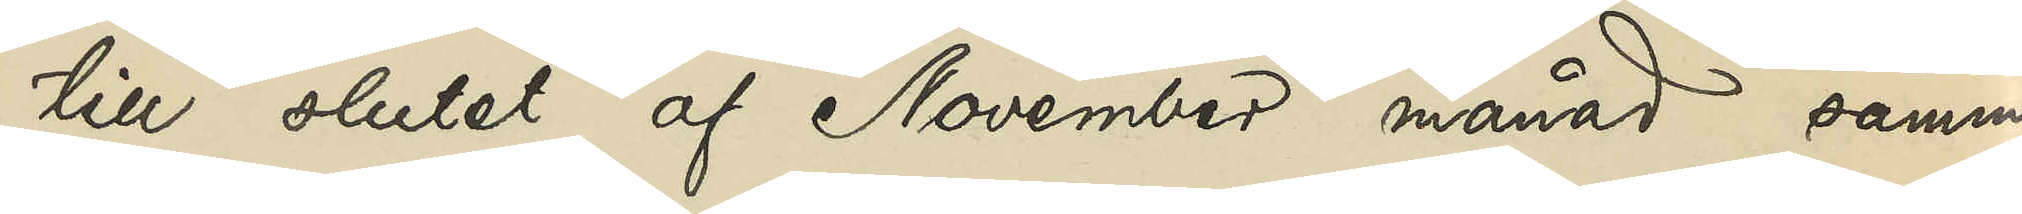till slutet af November månad samma
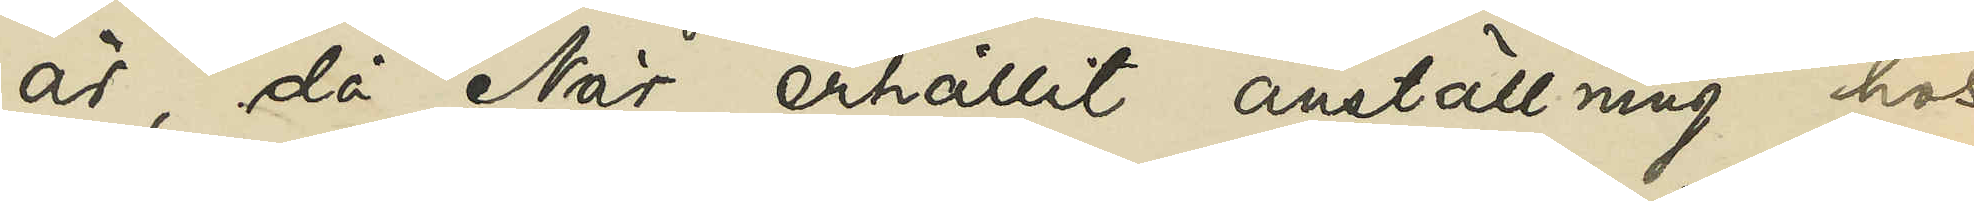år, då När erhållit anställning hos
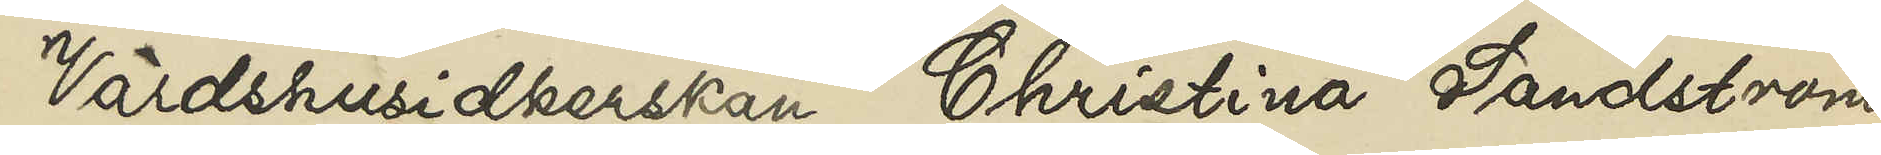Värdshusidkerskan Christina Sandström.
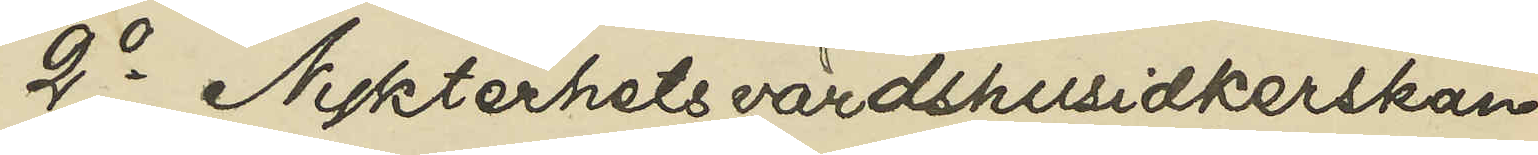2o Nykterhetsvärdshusidkerskan
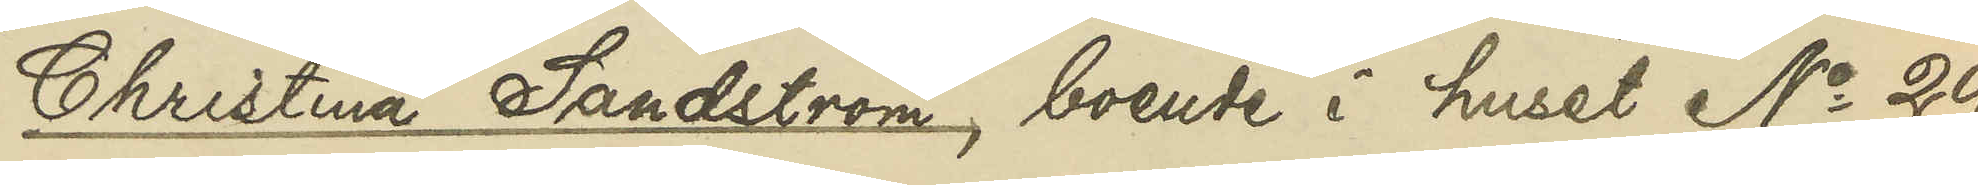Christina Sandström, boende i huset No 29
